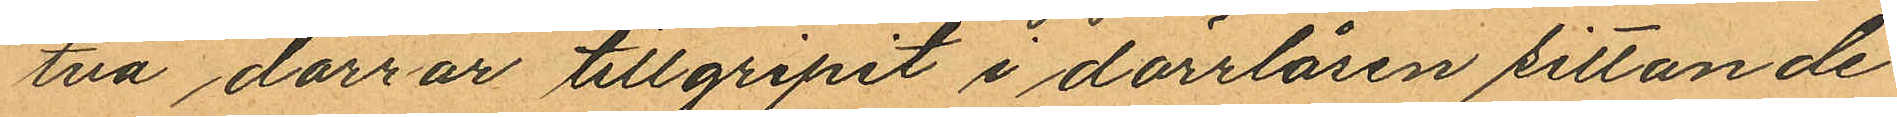två dörrar tillgripit i dörrlåsen sittande
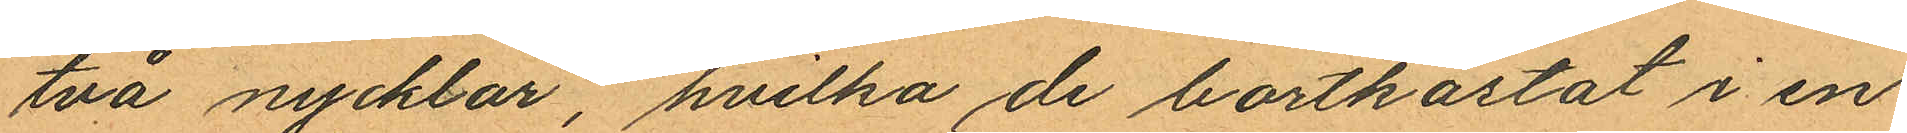två nycklar, hvilka de bortkastat i en
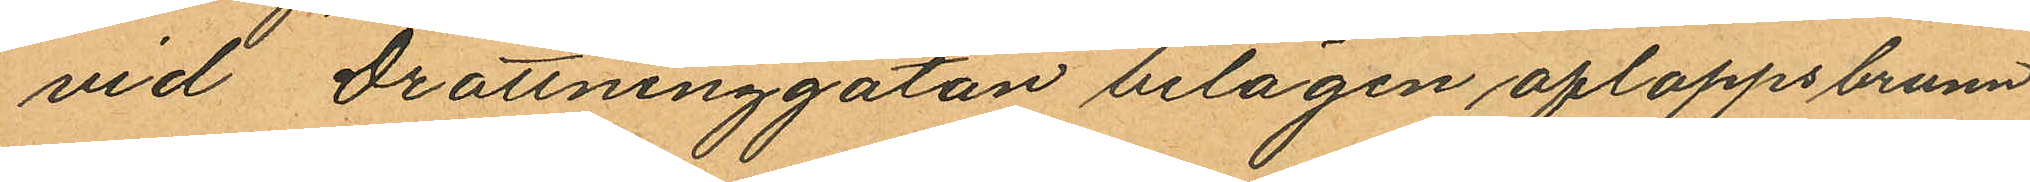vid Drottninggatan belägen afloppsbrunn
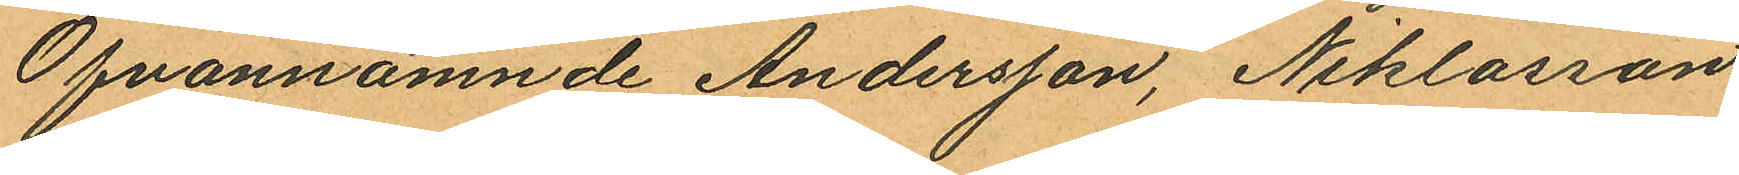Ofvannämnde Andersson, Niklasson
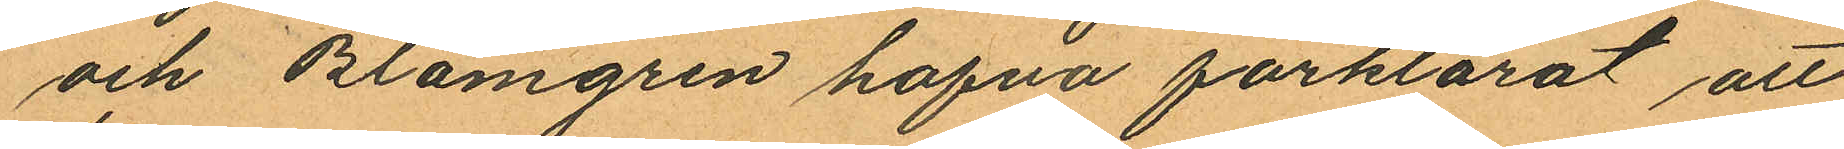och Blomgren hafva förklarat att
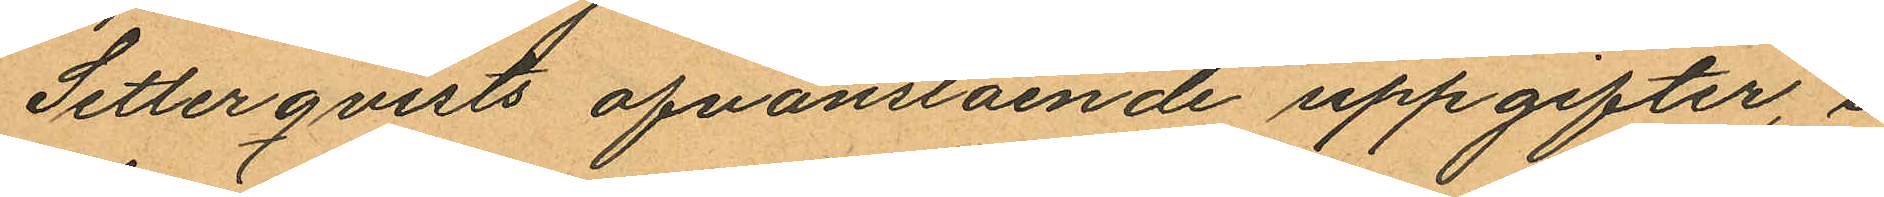Setterqvists ofvanstående uppgifter, i
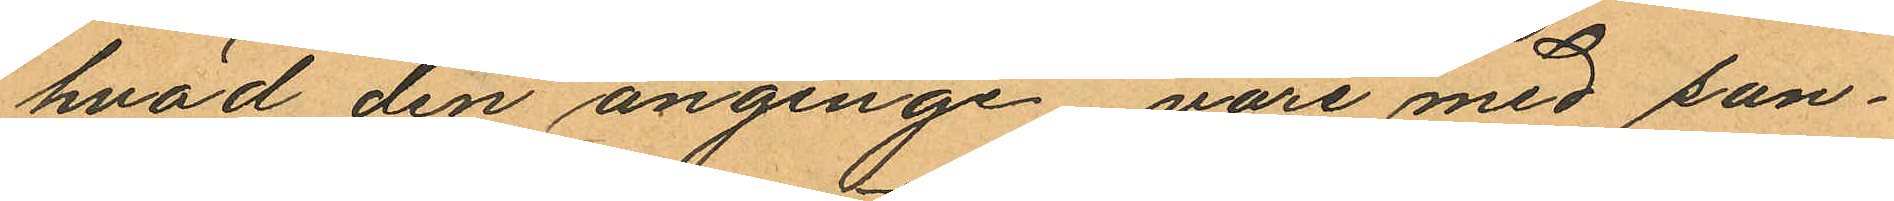hvad den anginge vore med san¬
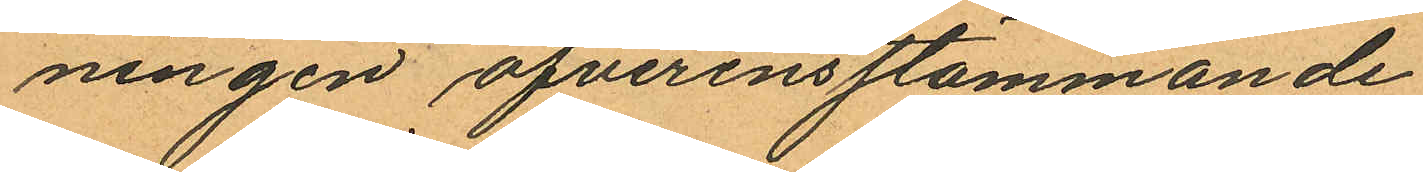ningen öfverensstämmande
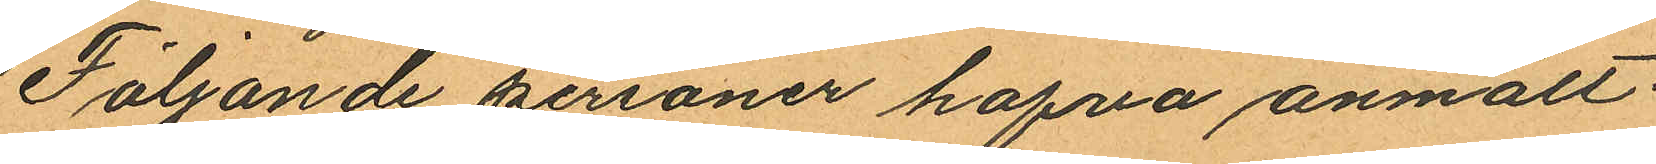Följande personer hafva anmält:
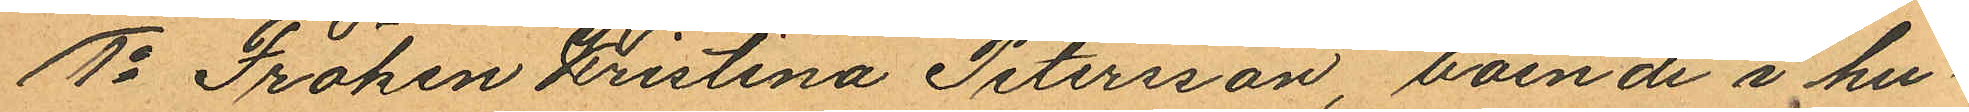1o Fröken Kristina Petersson, boende i hu¬
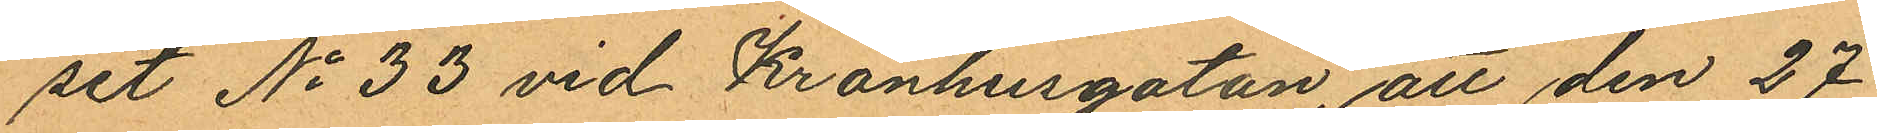set No 33 vid Kronhusgatan, att den 27
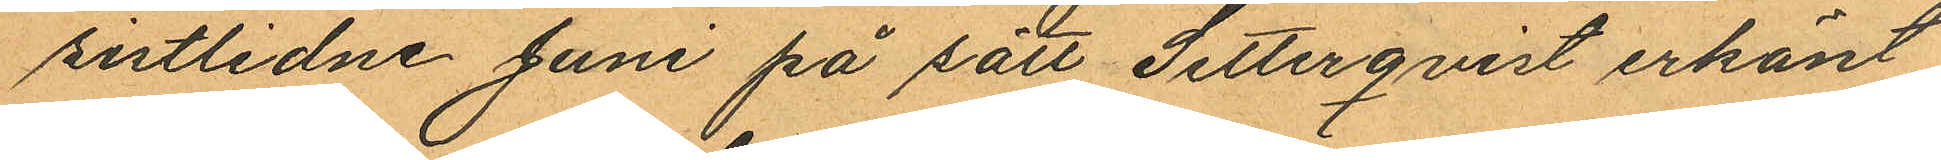sistlidne Juni på sätt Setterqvist erkänt
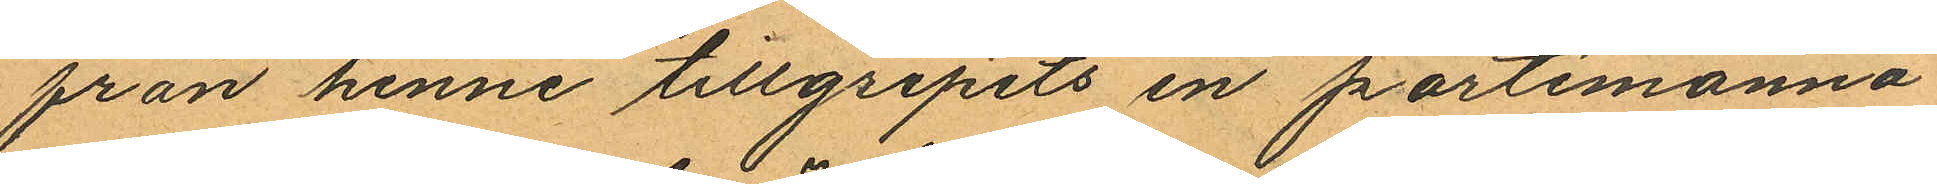från henne tillgripits en portemonnä
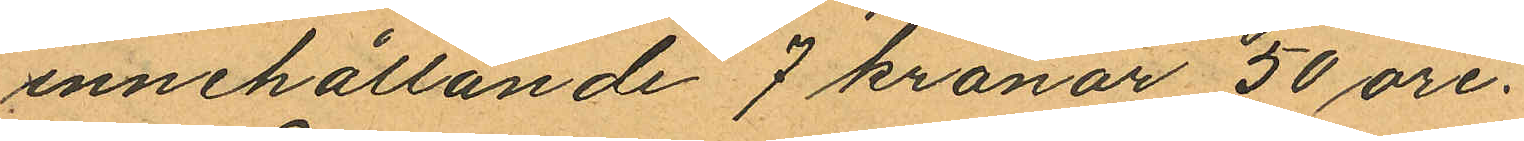innehållande 7 kronor 50 öre.
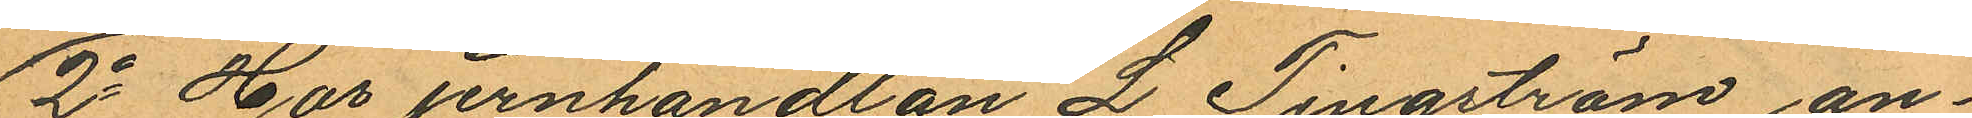2o Hos jernhandlan L Tingström an¬
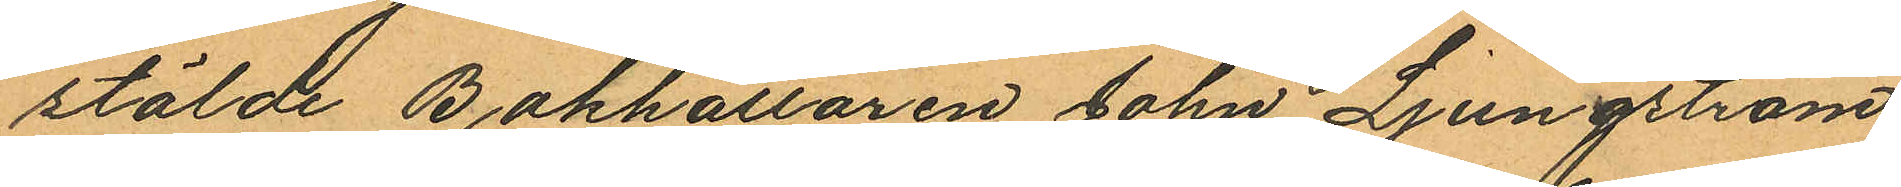stälde Bokhållaren John Ljungström,
